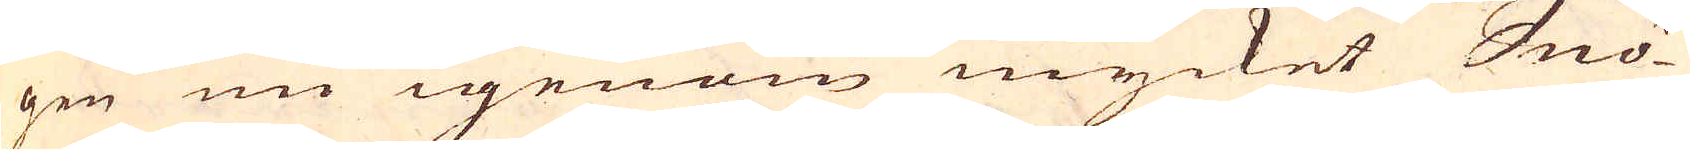gen nu igenom mycket Snö-
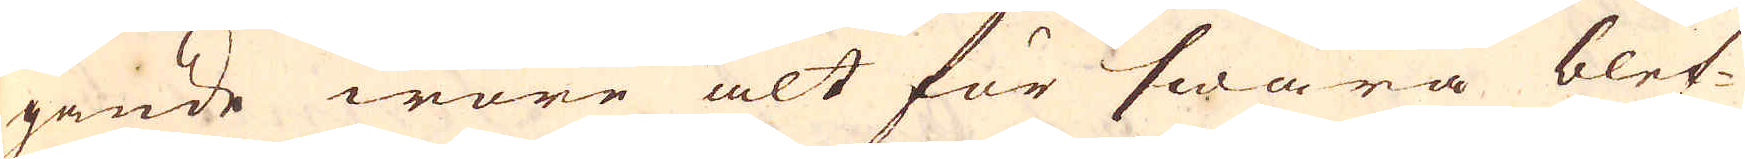gande wore alt för swåra blef-
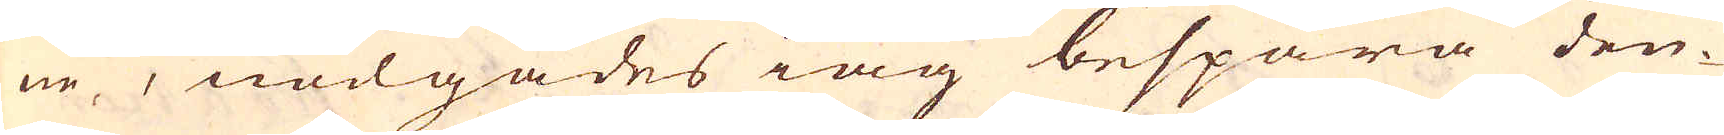ne, nödgades iag bespara den-
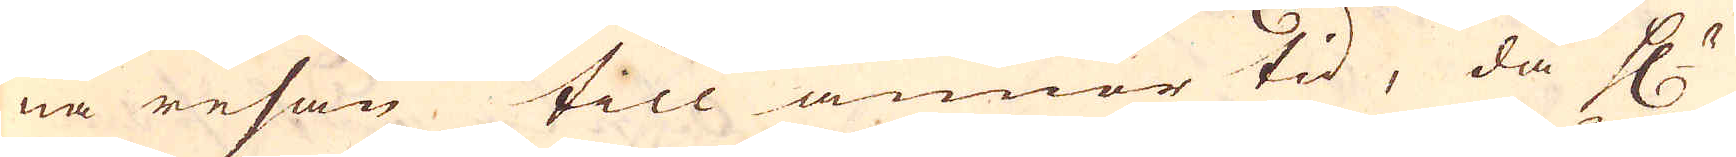na resan till annor tid, då H:r
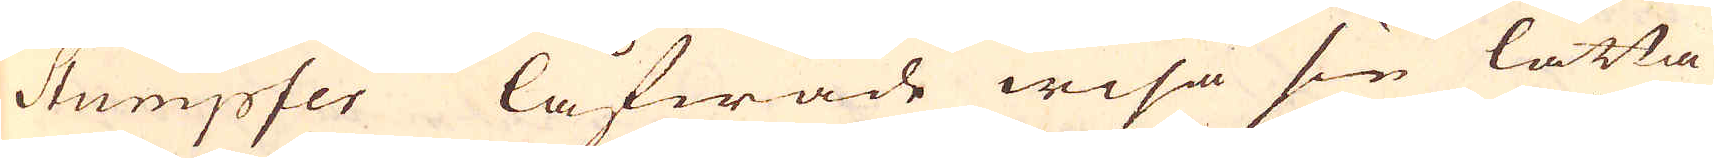Stumpfer låfwade wisa sin lätta
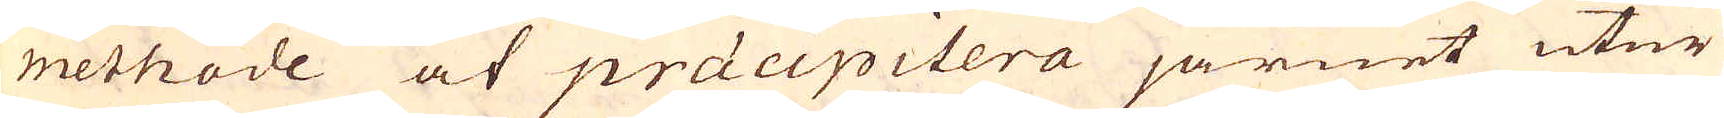methode at präcipitera järnet utur
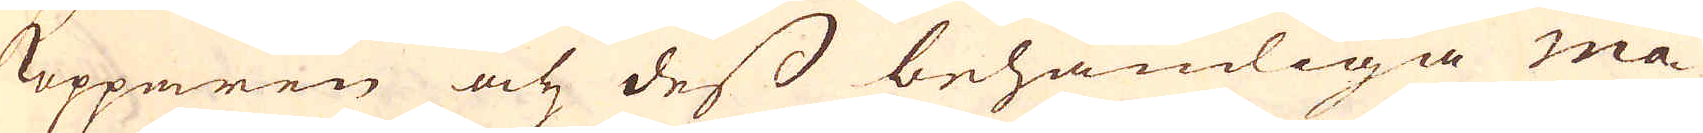kopparen och dess behämliga ma-
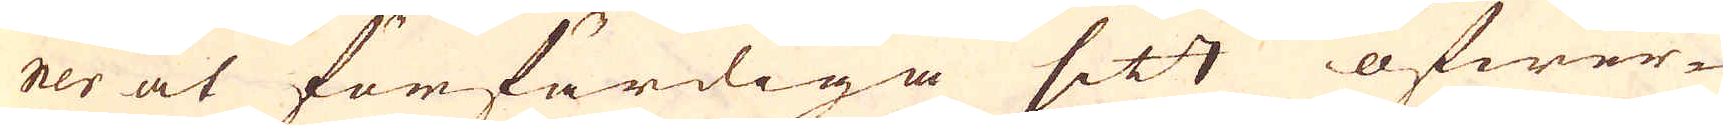ner at förfärdiga sitt öfwer-
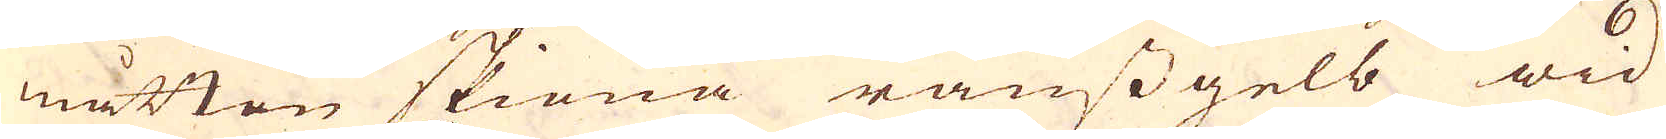måttan skiöna ranssgelb wid
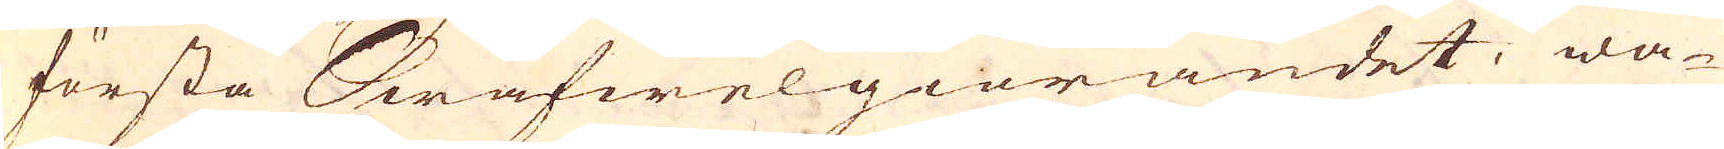första Swafwelgiörandet, wa-
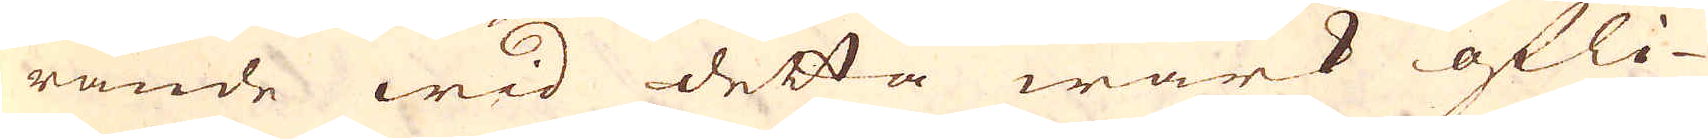rande wid detta wärk öfli-
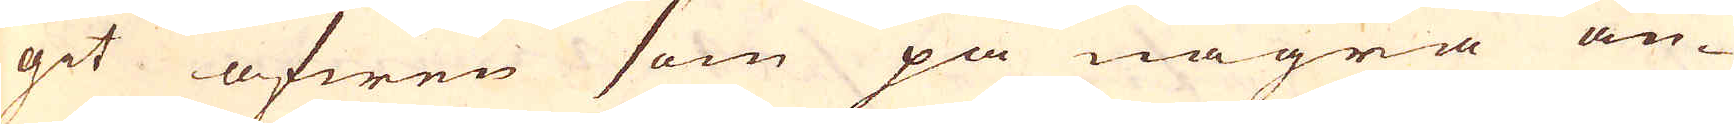git äfwen som på några an-
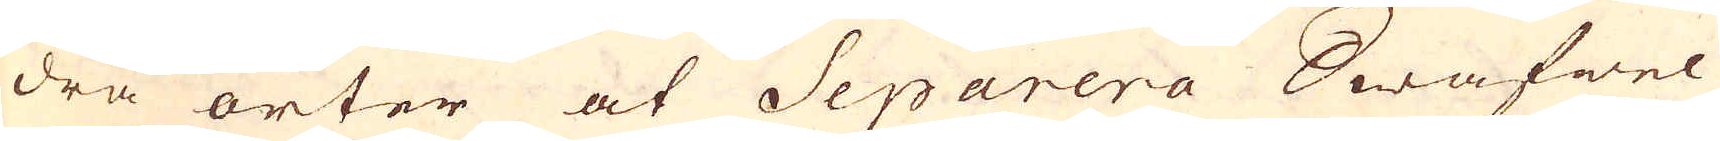dra orter at Separera Swafwel
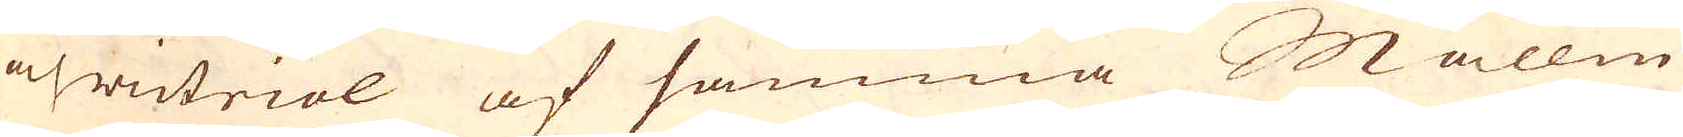och witriol af samma Mallm
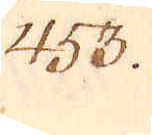453.
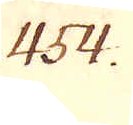454.
